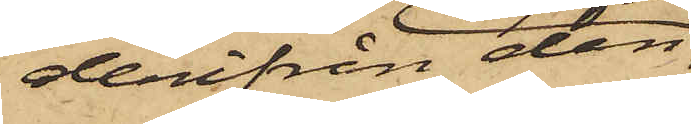derifrån den
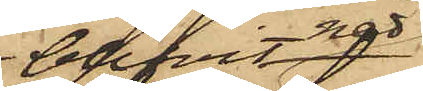blifvit
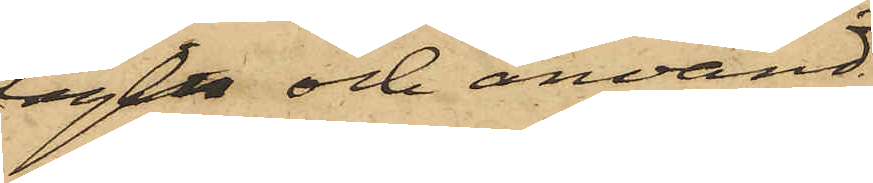tagen och använd
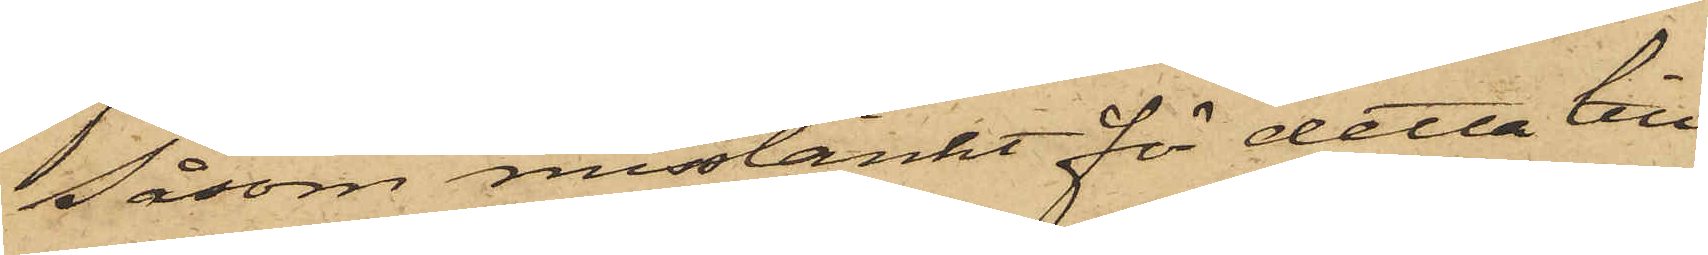Såsom misstänkt för detta till¬
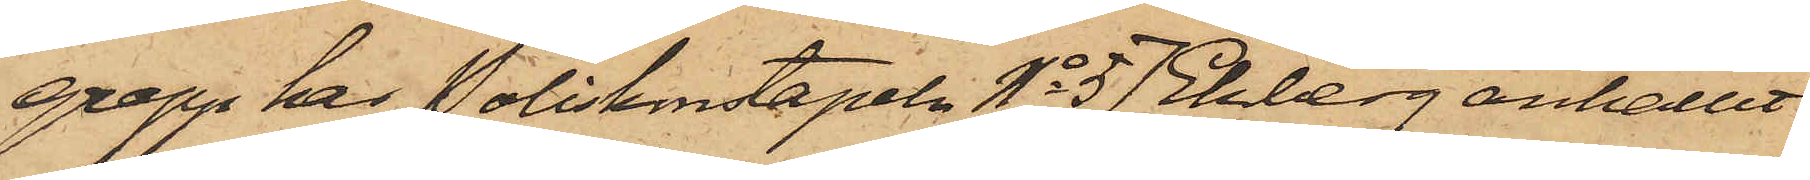grepp har Poliskonstapeln No 57 Ekberg anhållit
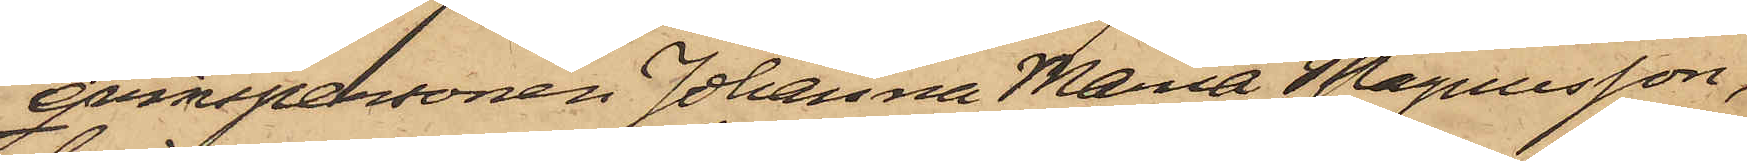qvinspersonen Johanna Maria Magnusson,
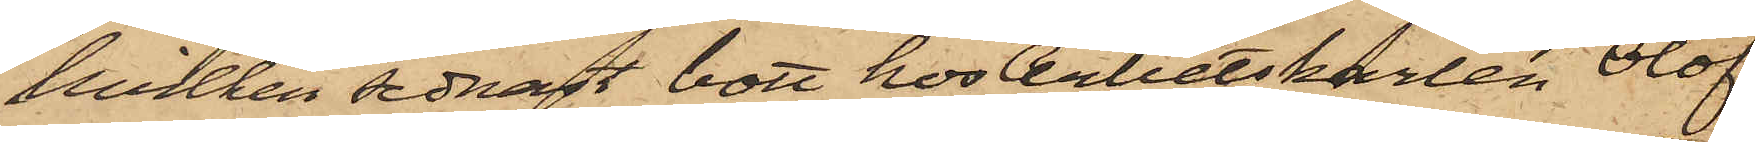hvilken sednast bott hos Arbetskarlen Olof
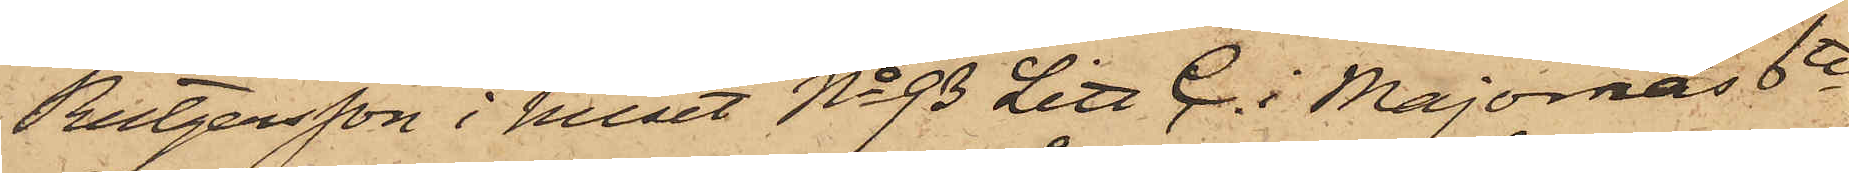Rutgersson i huset No 93 Litt C. i Majornas 6te
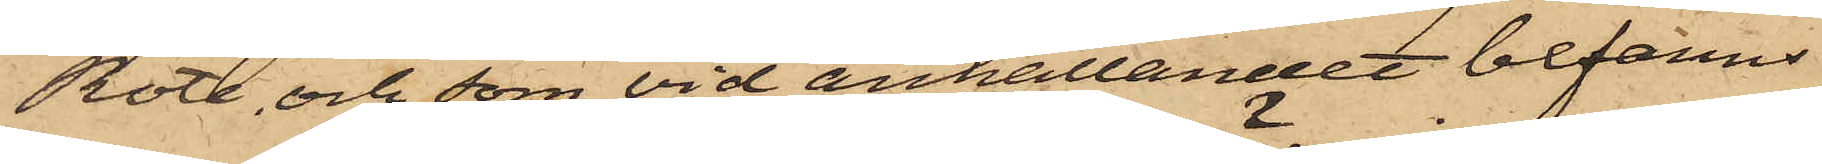Rote, och som vid anhållandet befanns
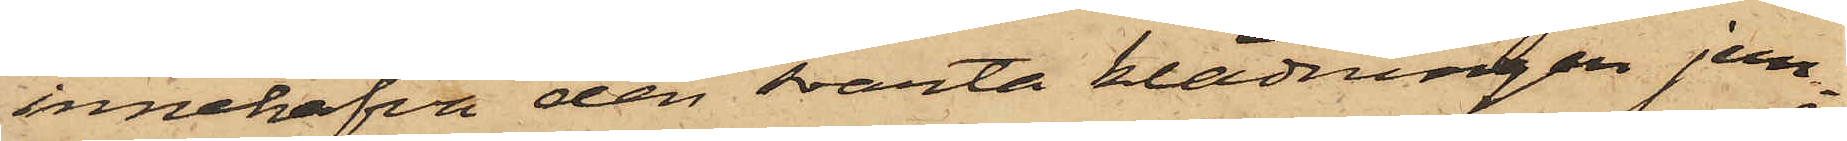innehafva den svarta klädningen jem¬
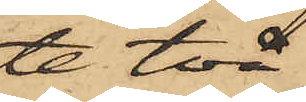te två
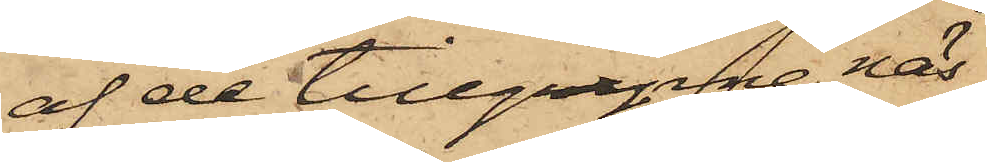af de tillgripne näs¬
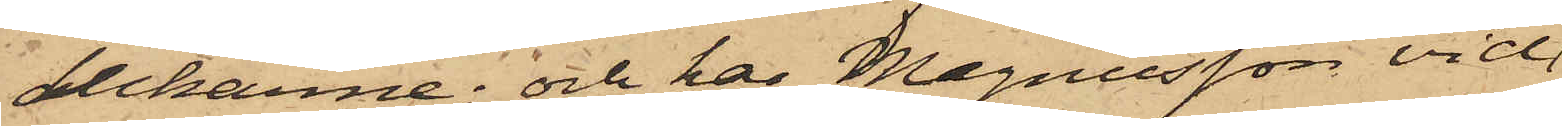dukarne; och har Magnusson vid
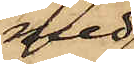med
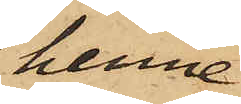henne
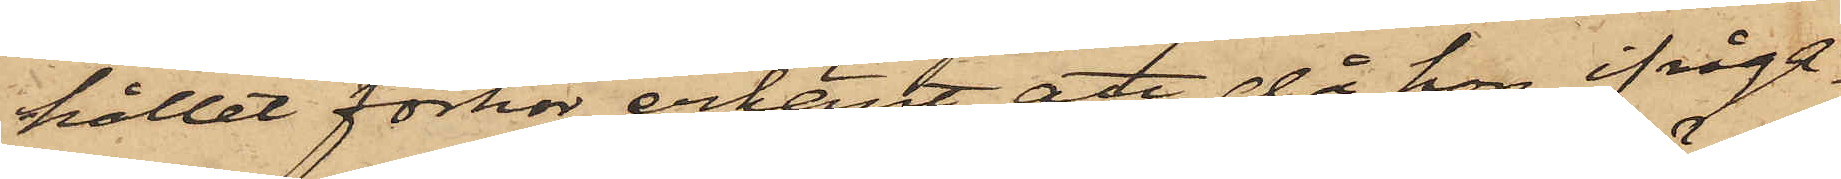hållit förhör erkänt, att då hon ifråga¬
